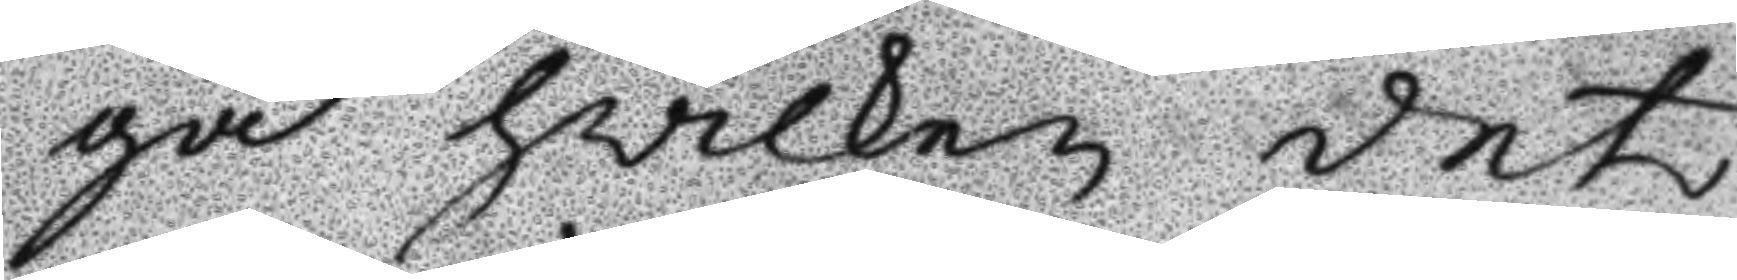ga hwilken det
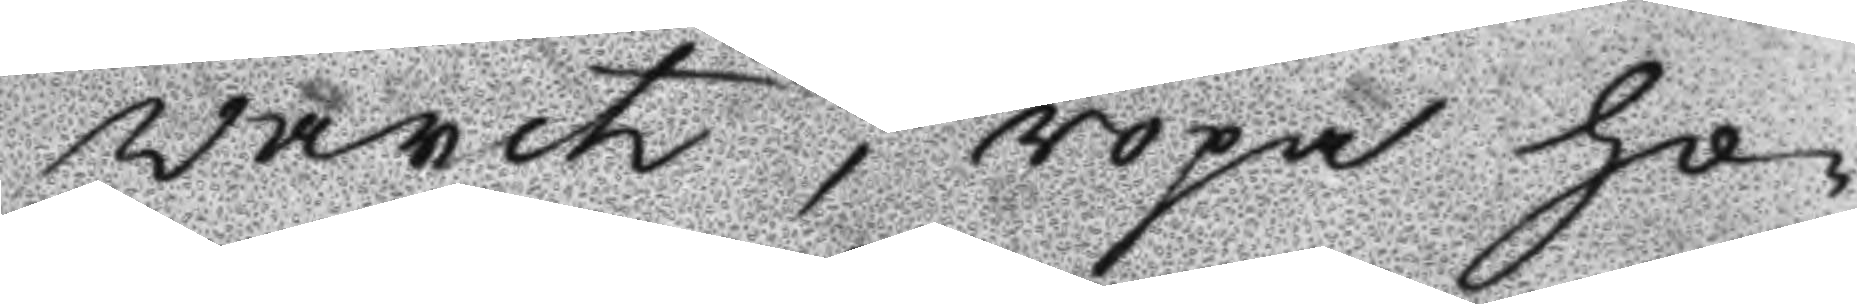warit, ropa ho¬
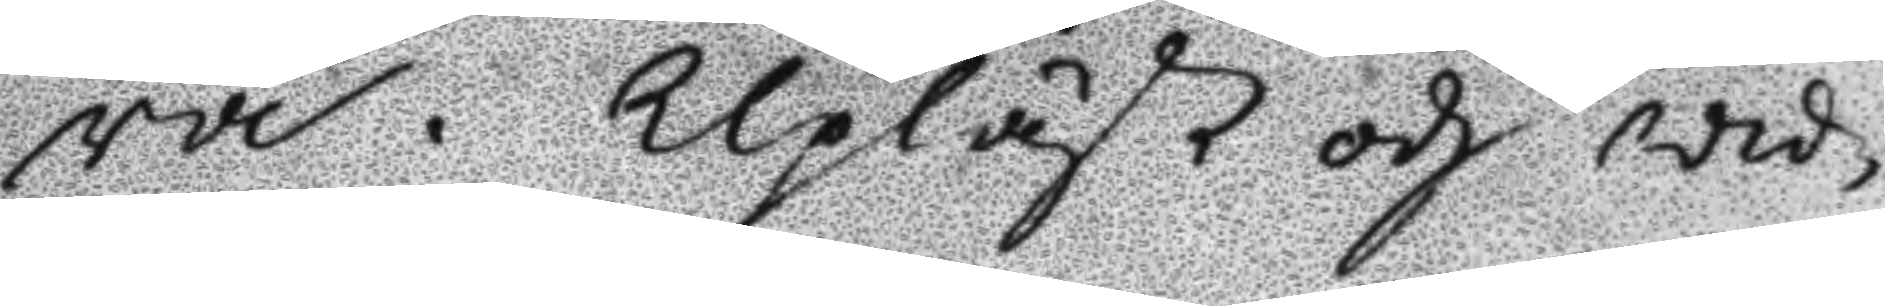ra. Upläst och wid¬
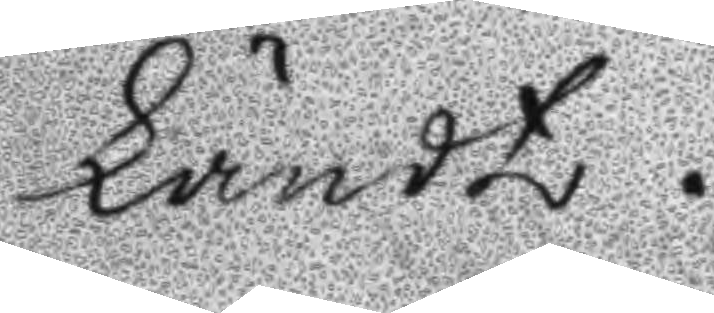kändt.
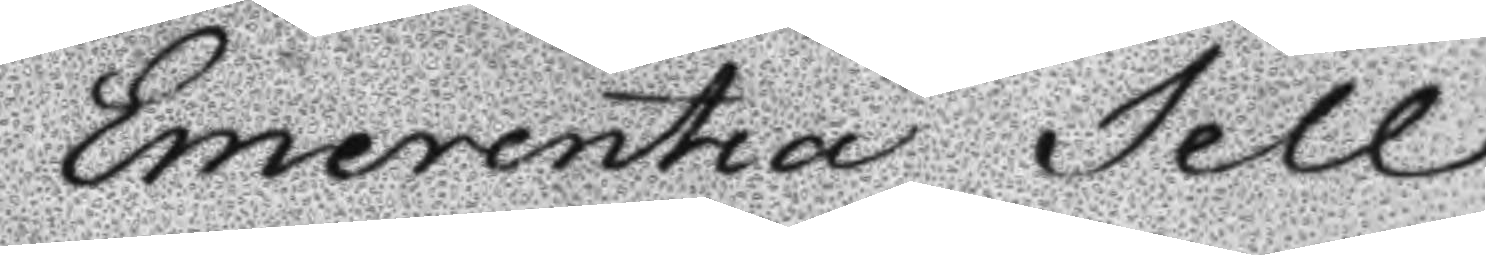Emerentia Sell¬
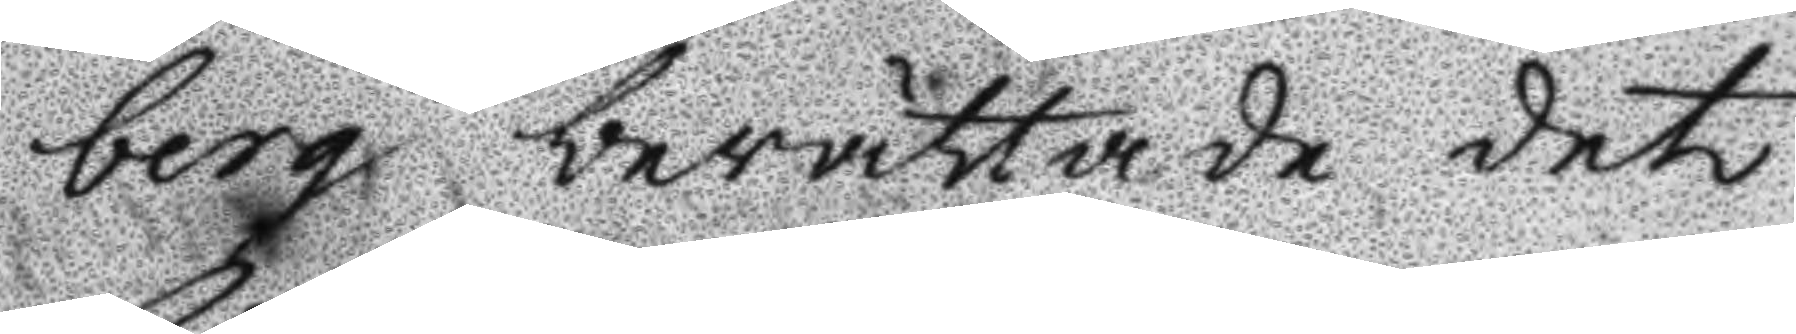berg berättade det
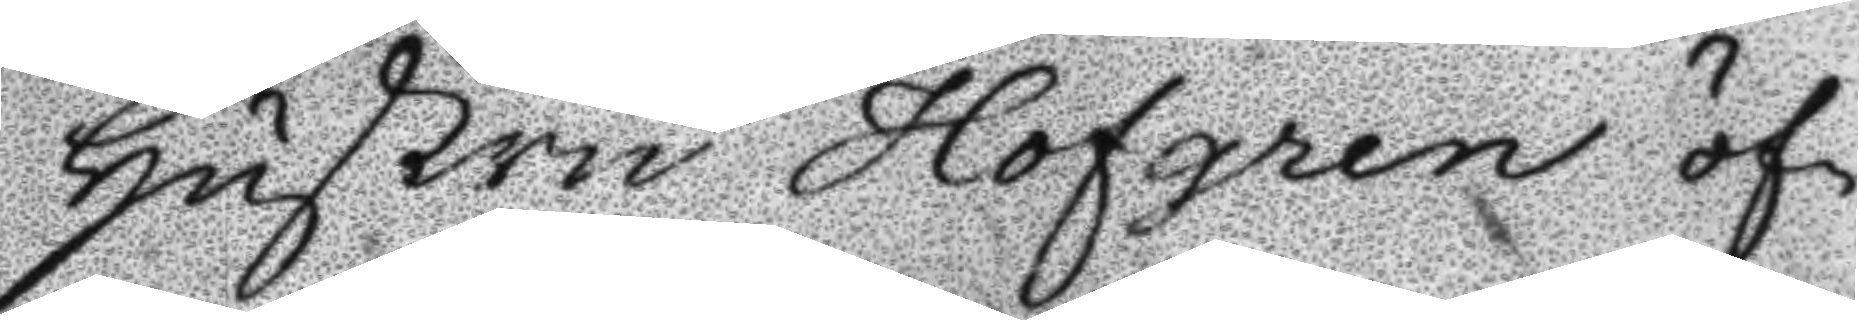hustru Hofgren öf¬
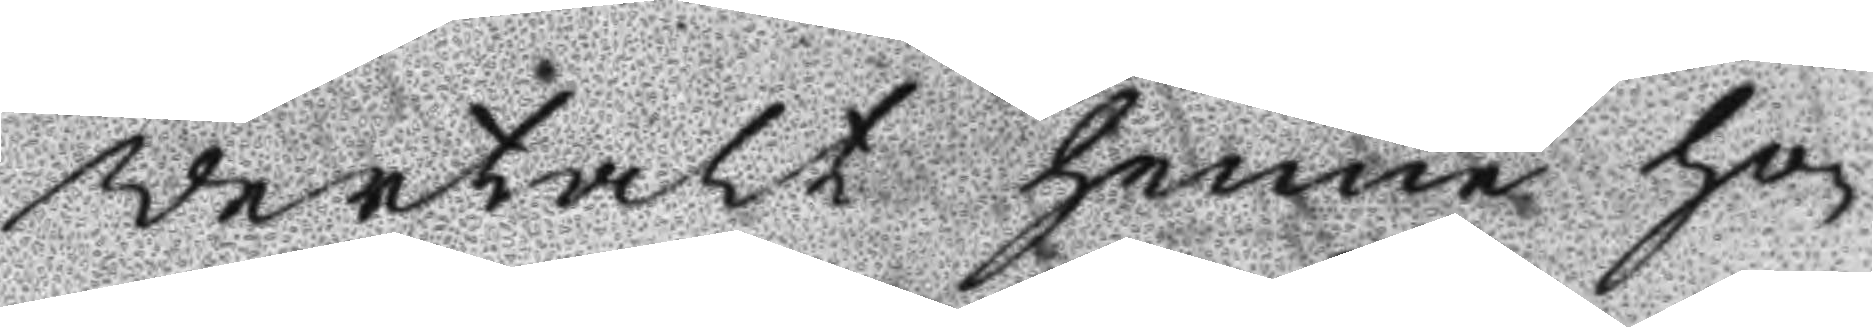wertalt henne ho¬
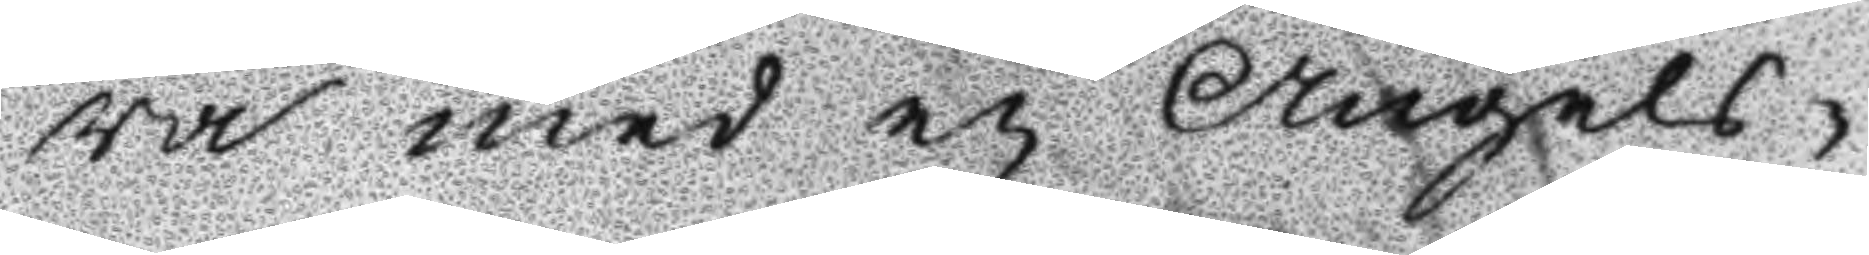ra med en Ängels¬
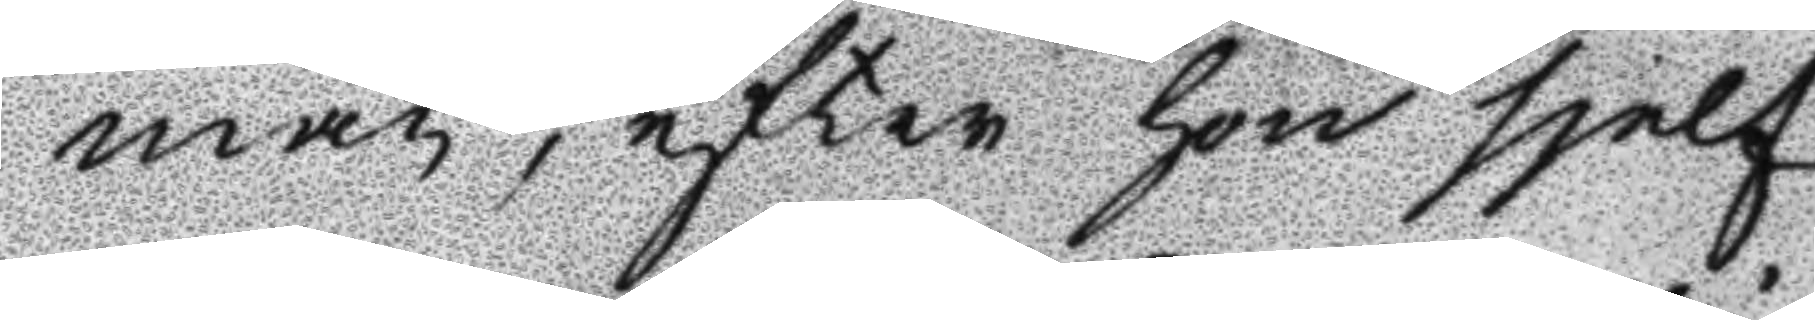man, efter hon sielf
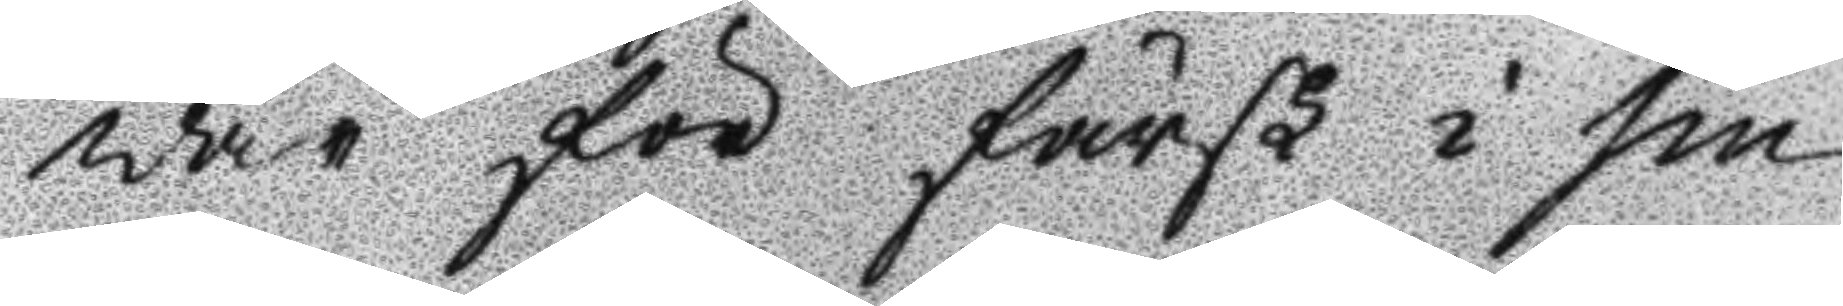war för färsk i sin
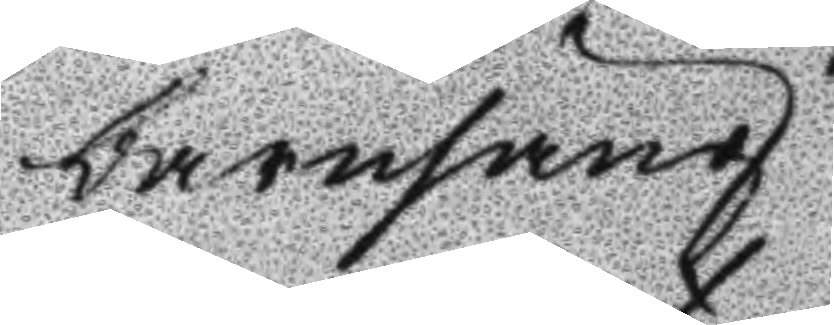barnsäng.
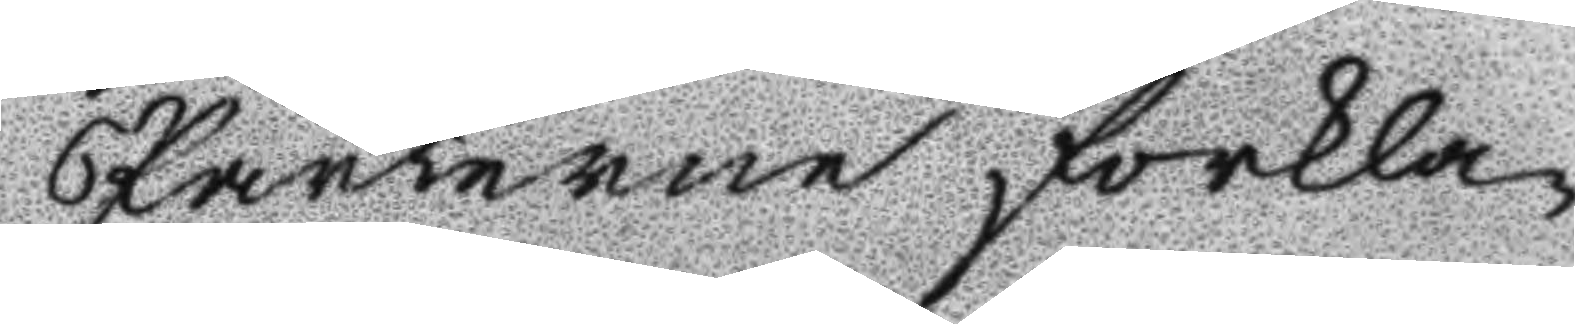Parterne förkla¬
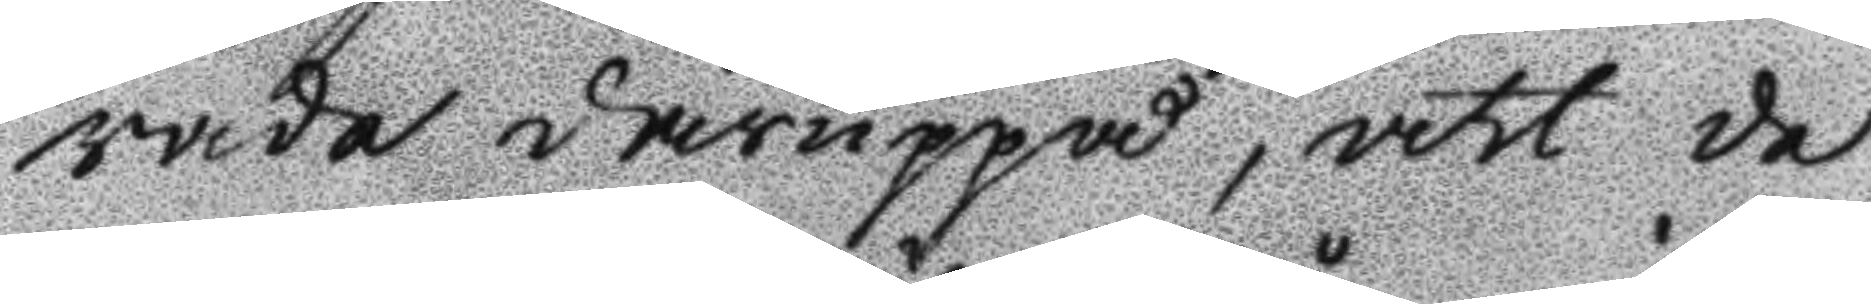rade däruppå, att de
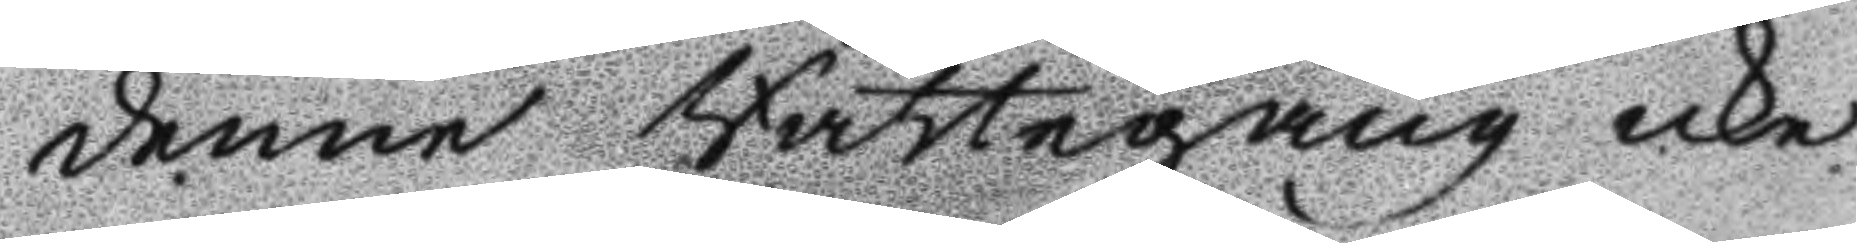denne Rättegång icke
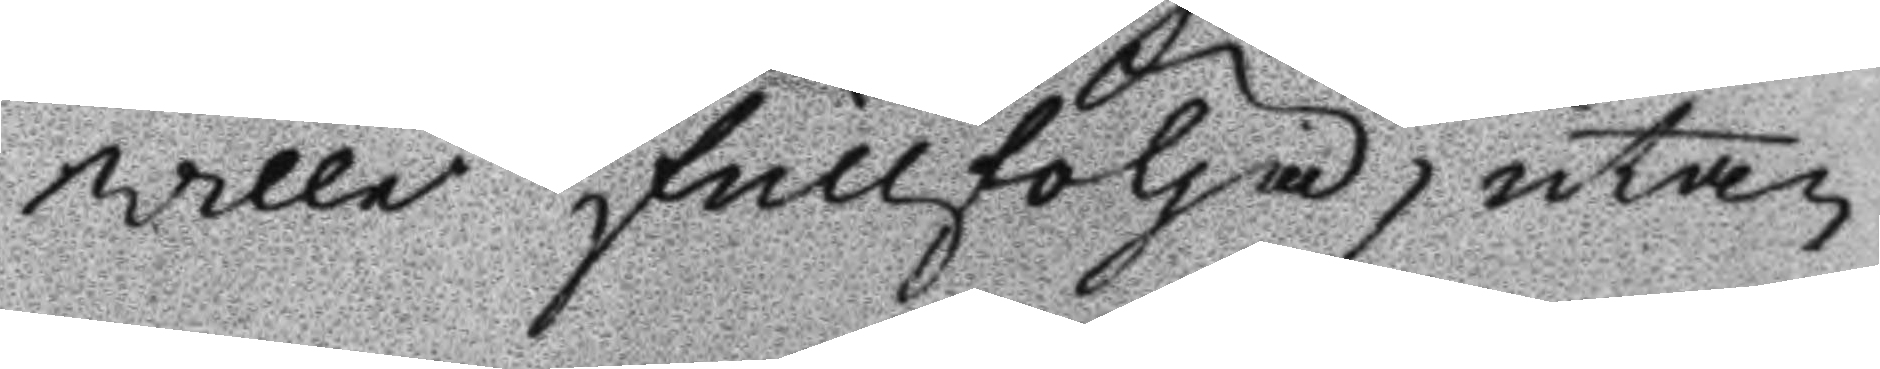wille fullfölja, utan
